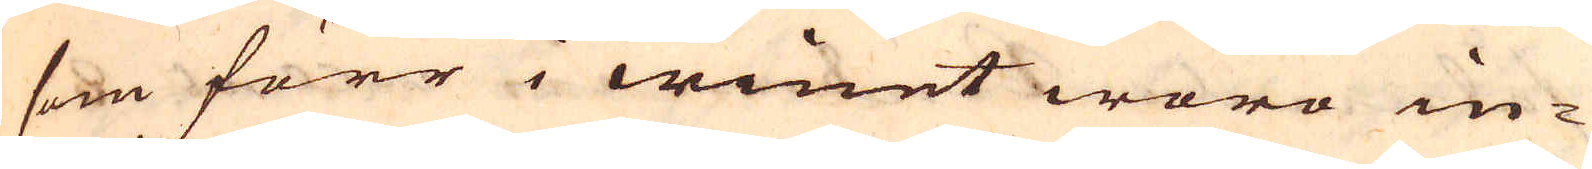som förr i winet woro in-
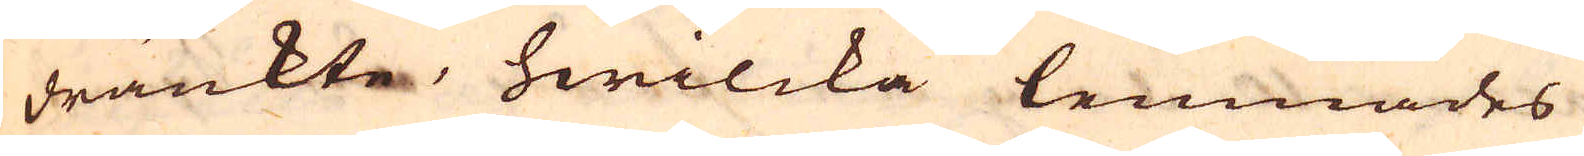dränkte, hwilcka lemnades
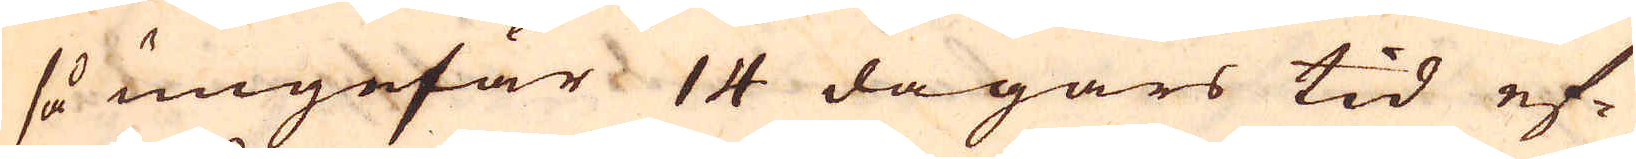så ungefär 14 dagars tid ef-
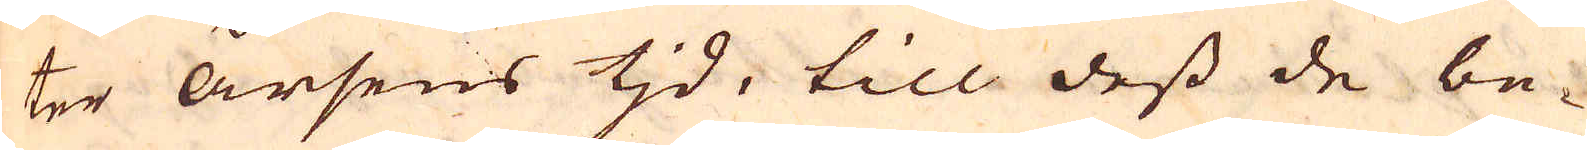ter årsens tjd, till dess de be-
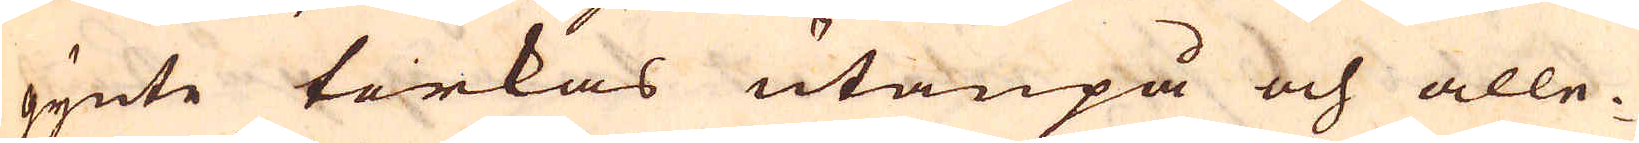gynte torkas utanpå och alle-
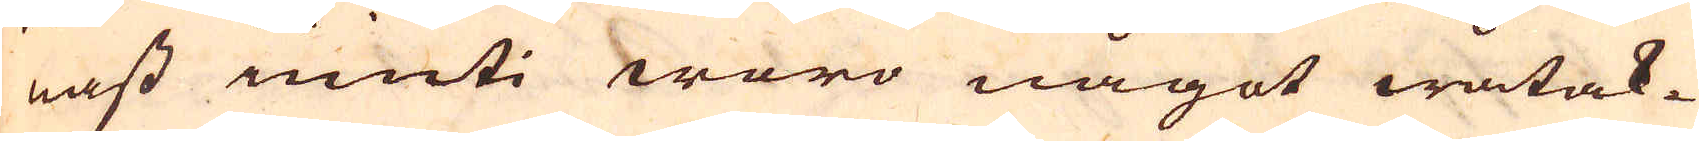nast inuti woro något wåtak-
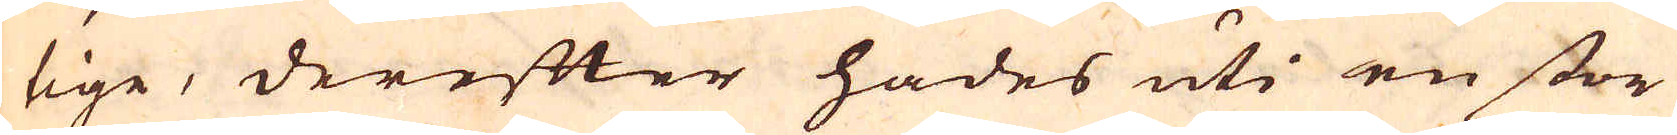tige, derefter hades uti en stor
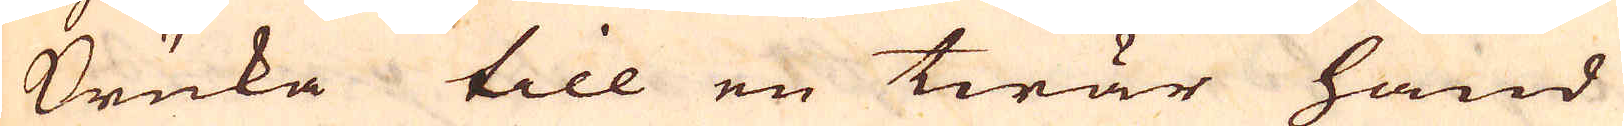Kruka till en twär hand
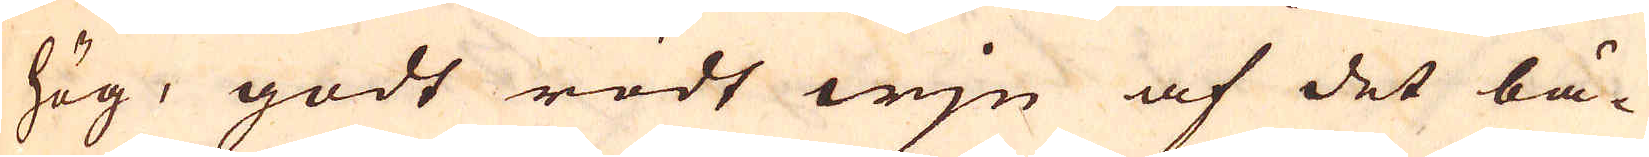hög, godt rödt wjn af det bä-
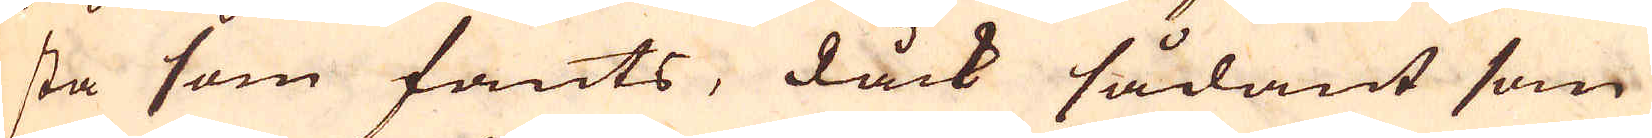sta som fants, dåck sådant som
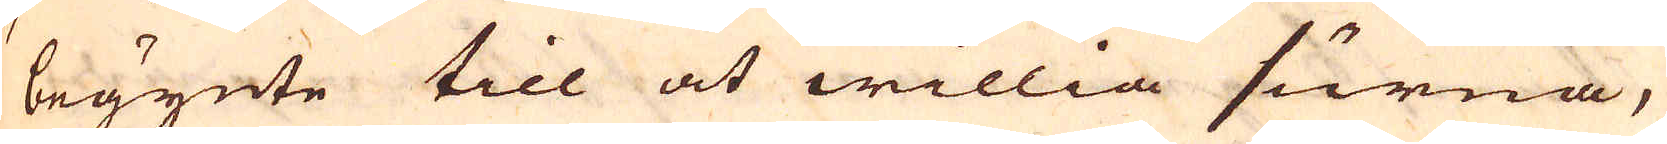begynte till at willia surna,
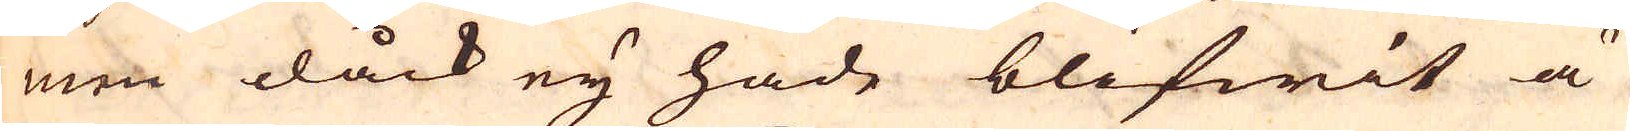men dåck eij hade blifwit ä-
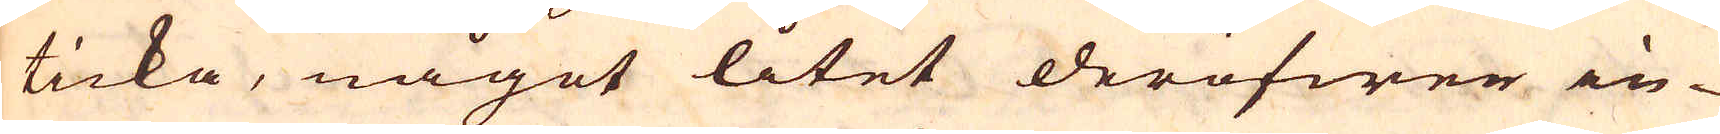ticka, något litet deröfwer in-
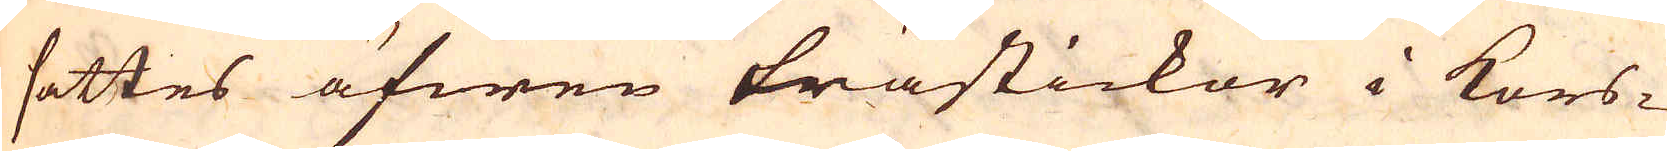sattes äfwen trästickor i kors-
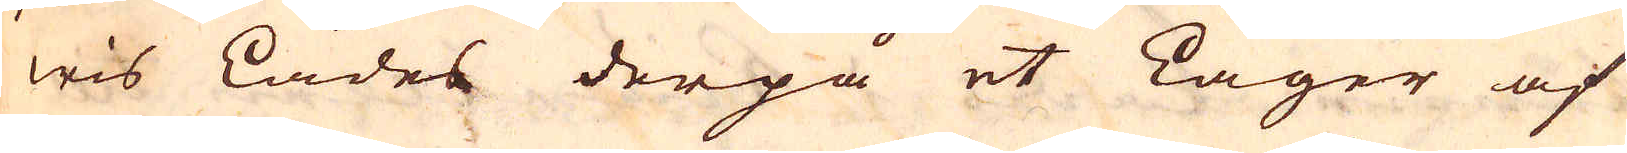wis Lades derpå et Lager af
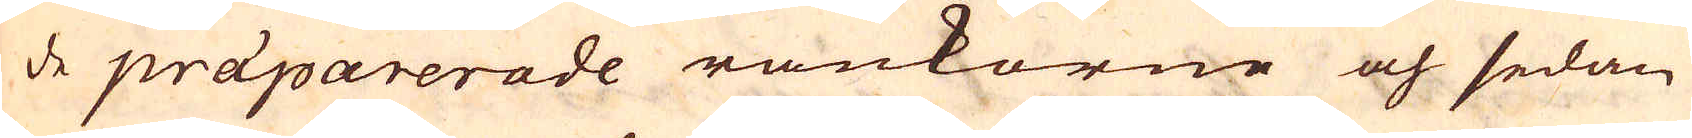de präparerade rankorne och sedan
